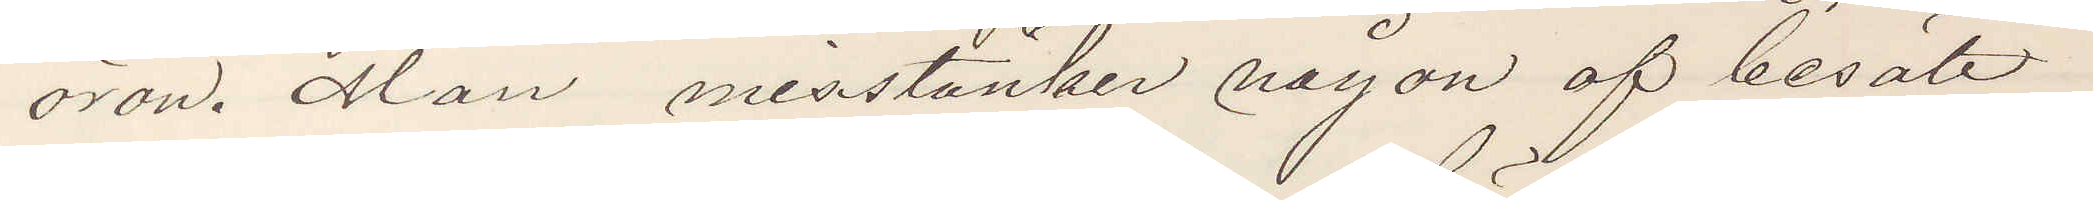öron. Man, misstänker någon af besätt¬
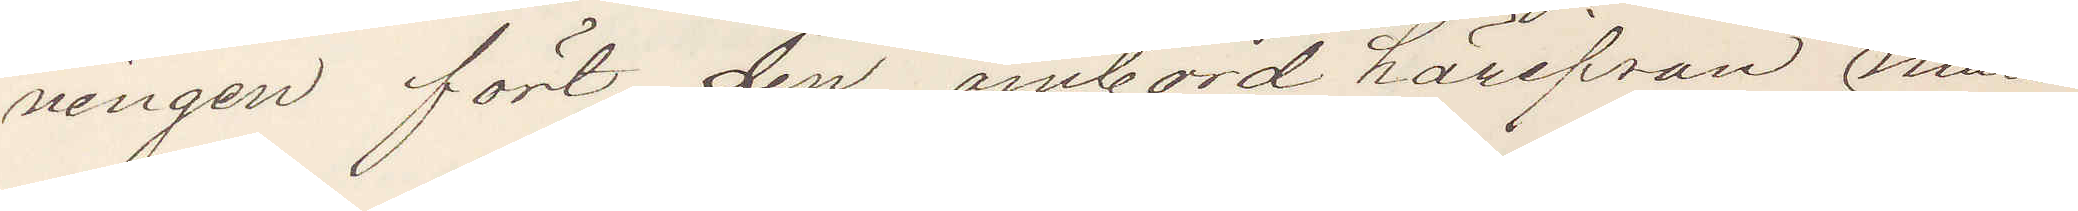ningen fört den ombord härifrån mån¬
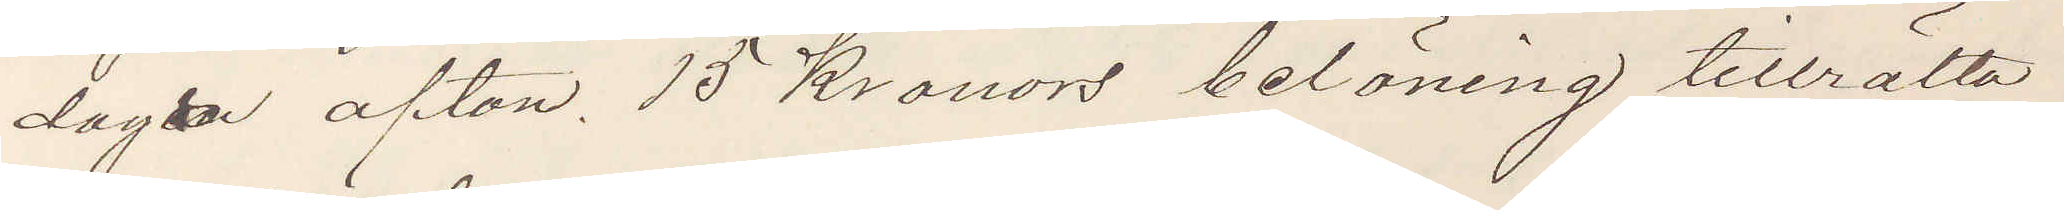dagen afton. 15 Kronors belöning tillrätta¬
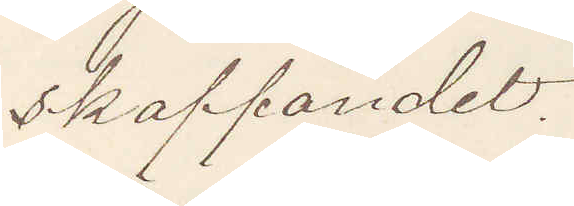skaffandet.
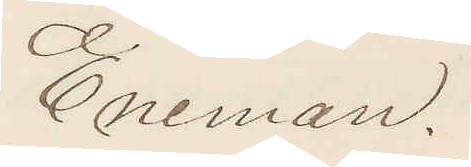Eneman.
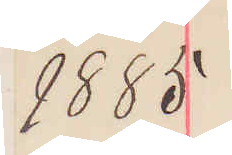1885
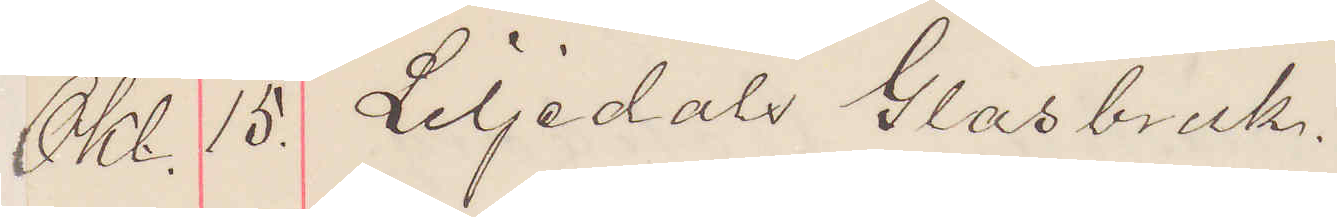Okt. 15. Liljedals Glasbruk.
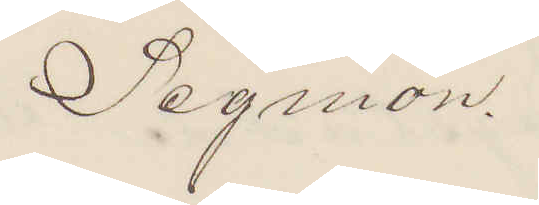Segmon.
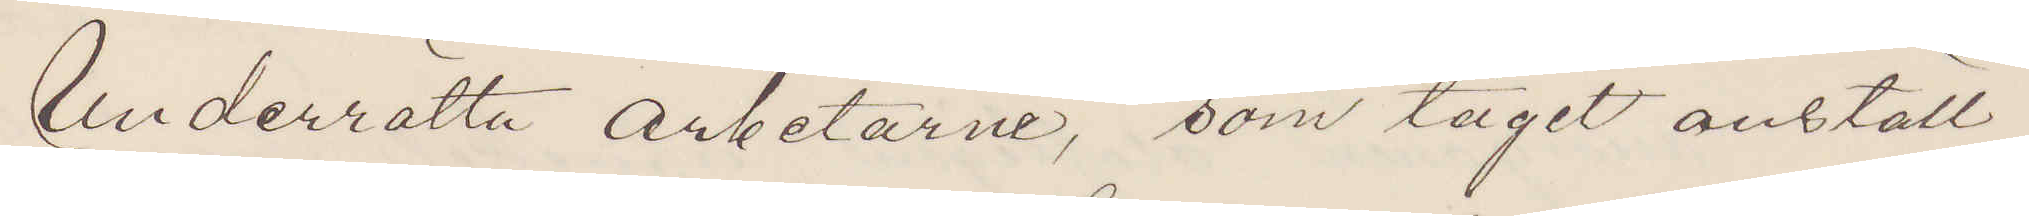Underrätta arbetarne, som tagit anställ¬
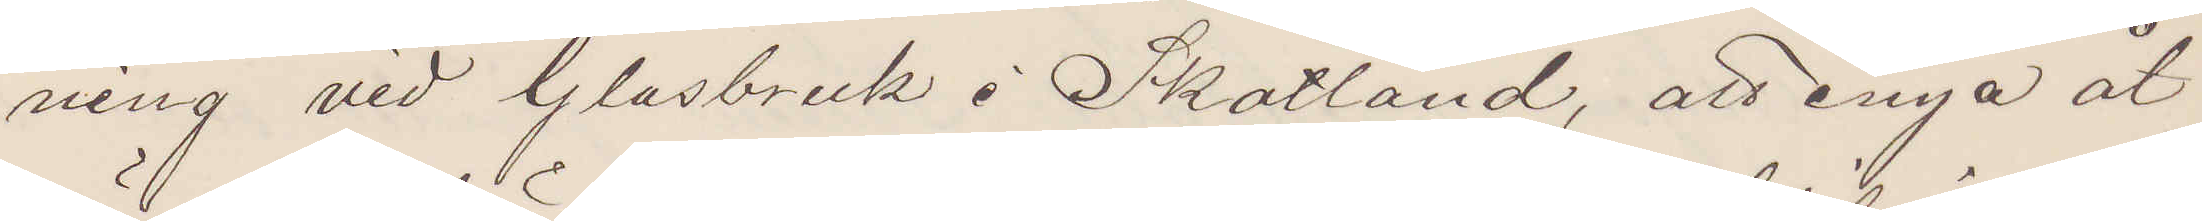ning vid Glasbruk i Skotland, att ånyå åt¬
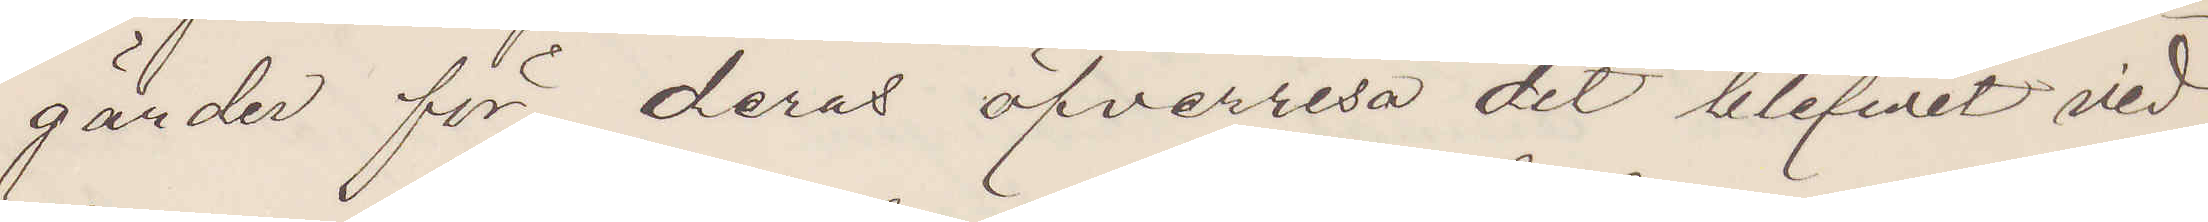gärder för deras öfverresa det blifvit vid¬
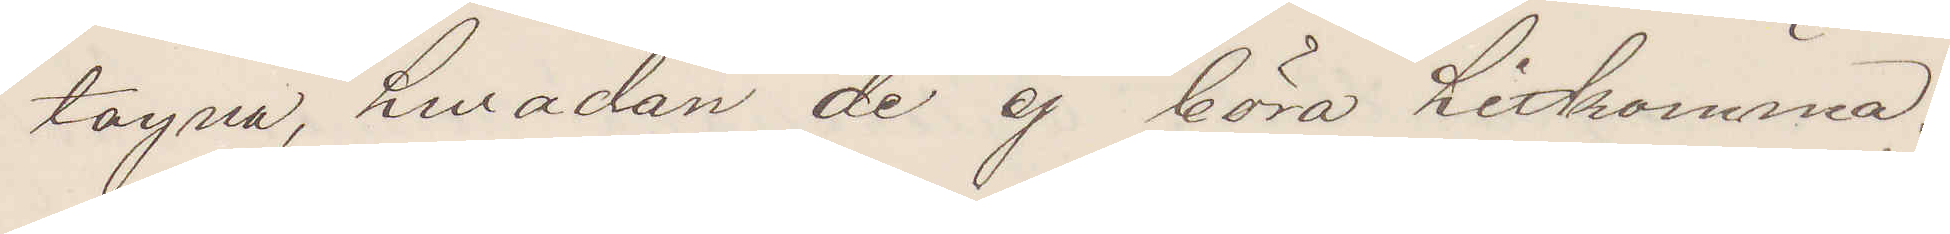tagna, hwadan de ej böra hitkomma.
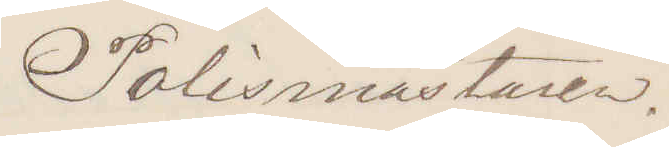Polismästaren.
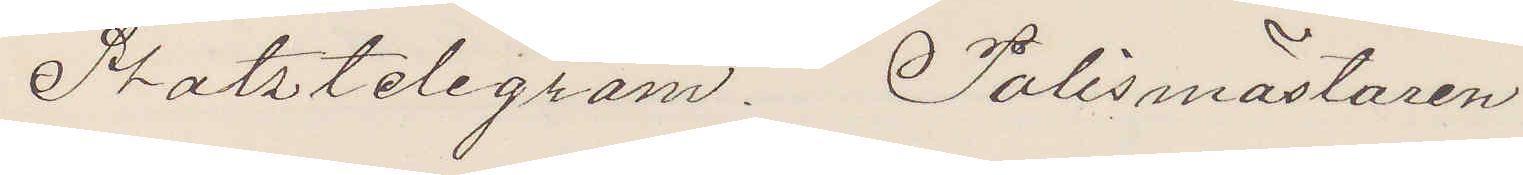Statstelegram. Polismästaren
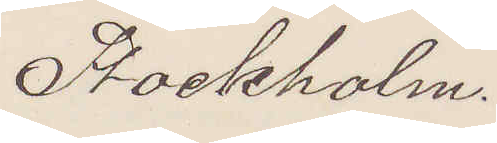Stockholm.
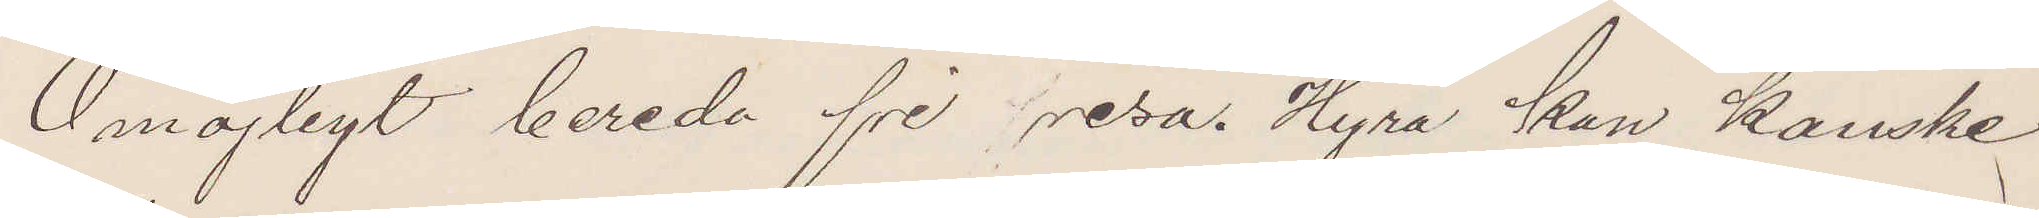Omöjligt bereda fri resa. Hyra kan kanske
